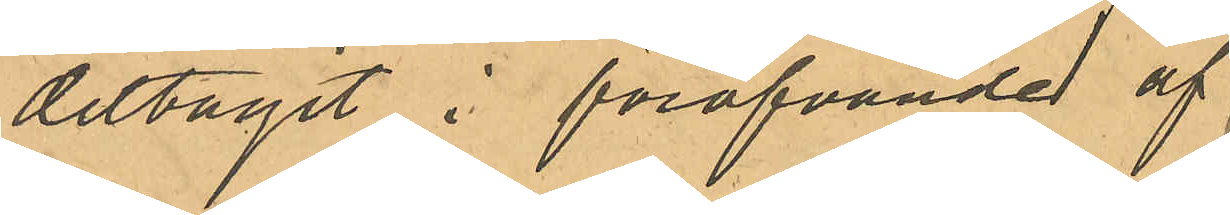deltagit i föröfvande af
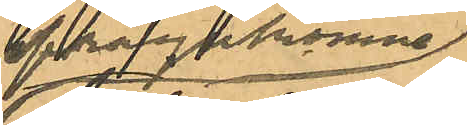ifrågakomne
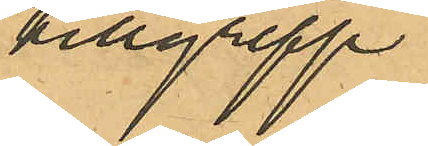tillgrepp
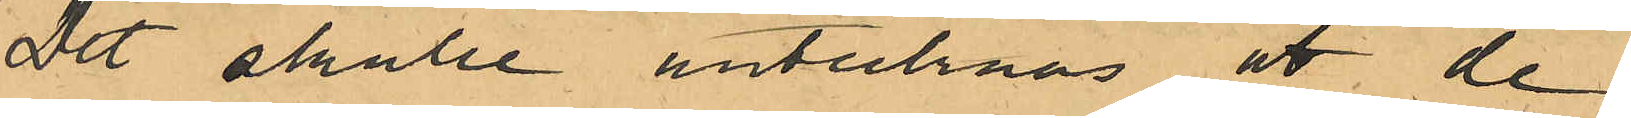Det skulle antecknas att de
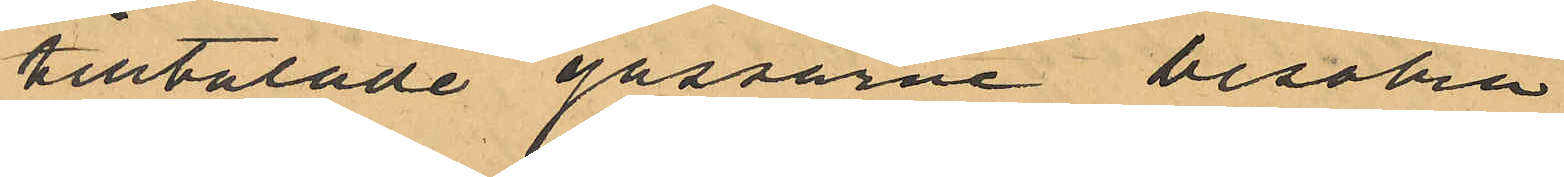tilltalade gossarne besöka
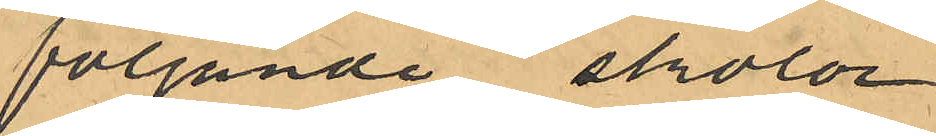följande skolor
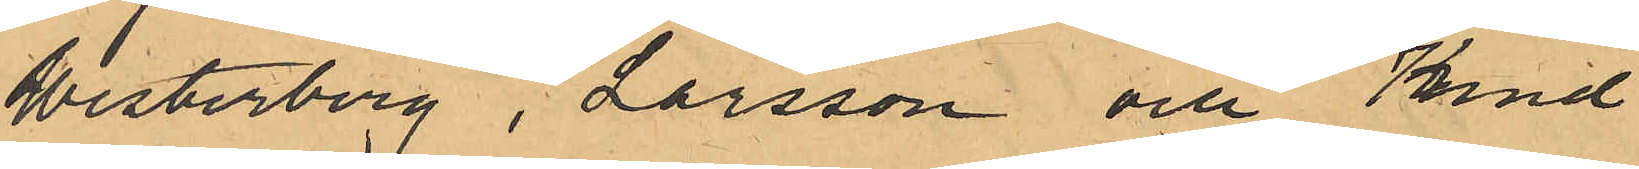Westerberg, Larsson och Kind
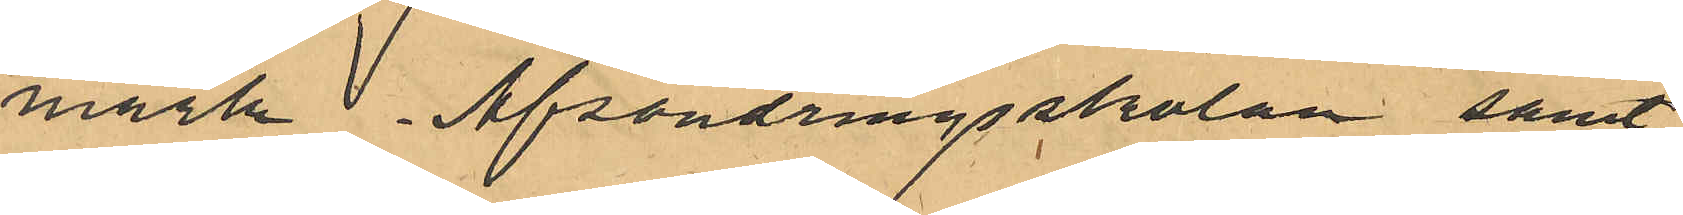mark Afsöndringsskolan samt
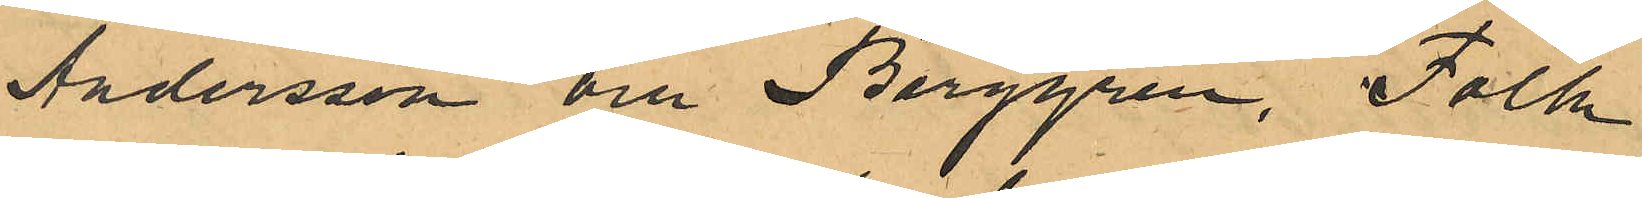Andersson och Berggren, Folk
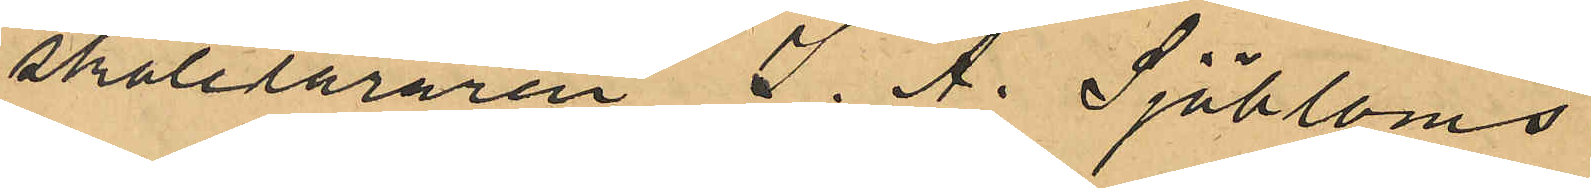skoleläraren J. A. Sjöbloms
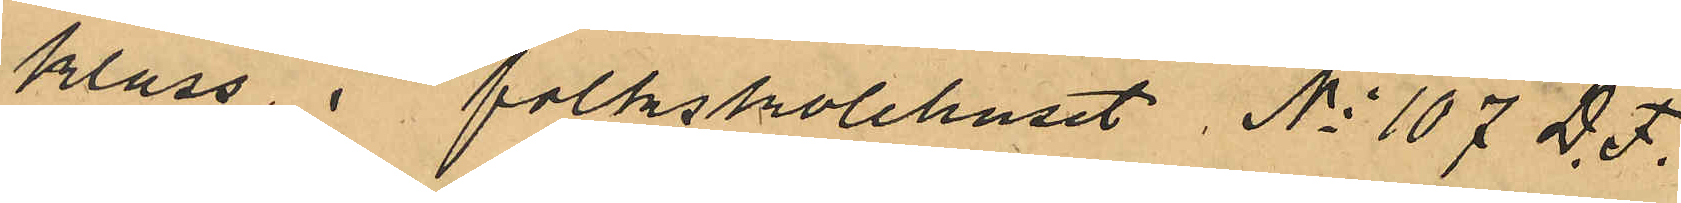klass i folkskolehuset No 107 D. F.
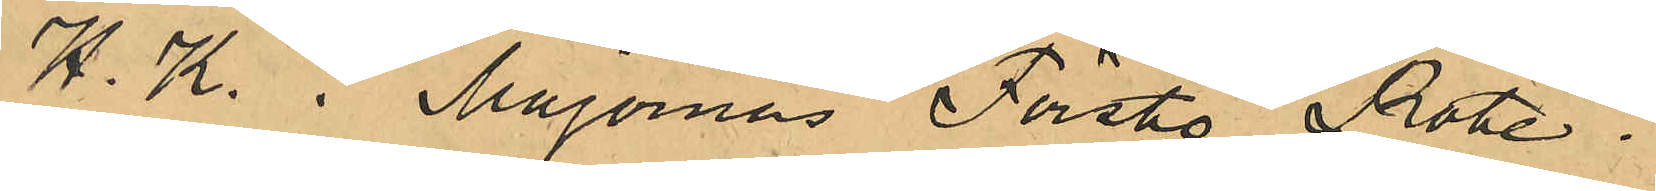H. K. i Majornas Förste Rote.
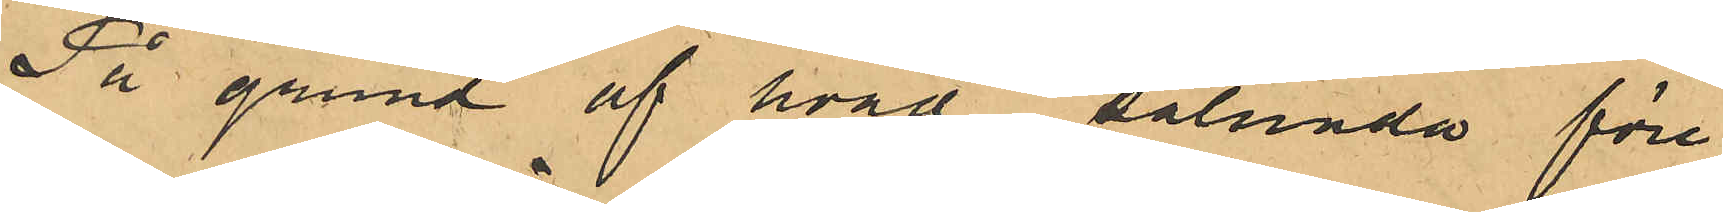På grund af hvad sålunda före¬
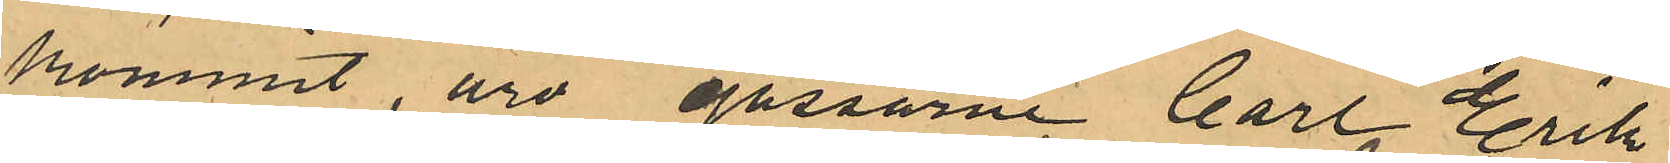kommit, äro gossarne Carl Erik
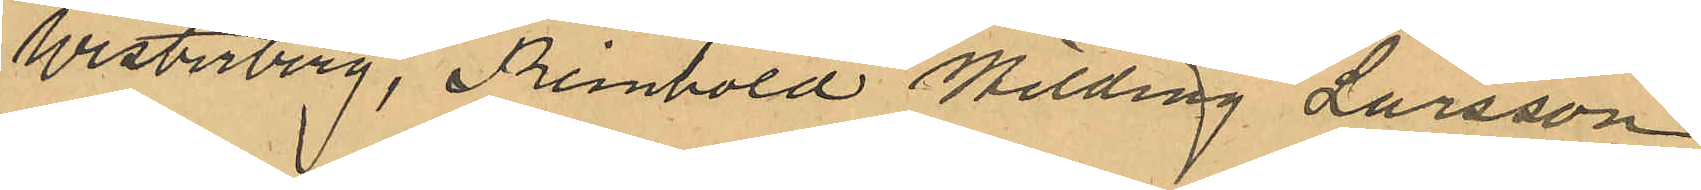Westerberg, Reinhold Hilding Larsson
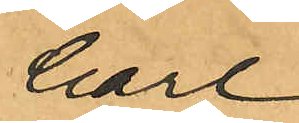Carl
